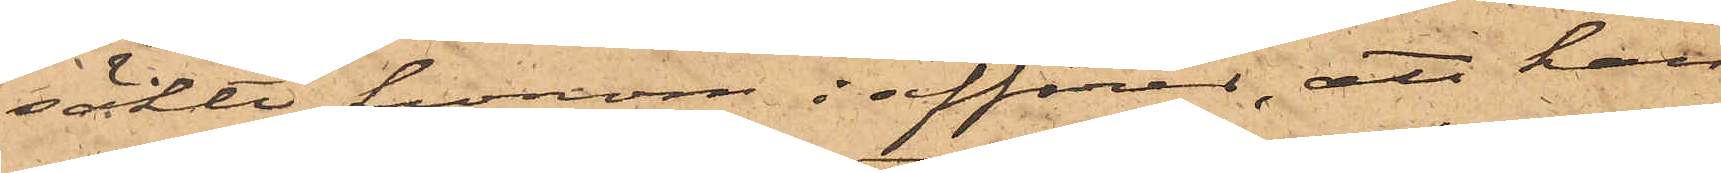sökte honom i affärer, att han
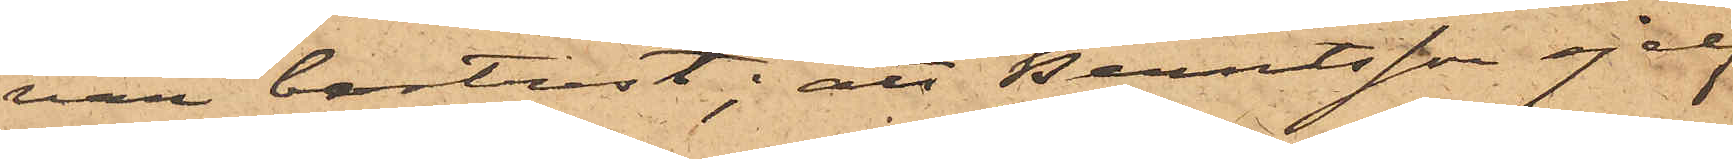var bortrest; att Berntsson sjelf
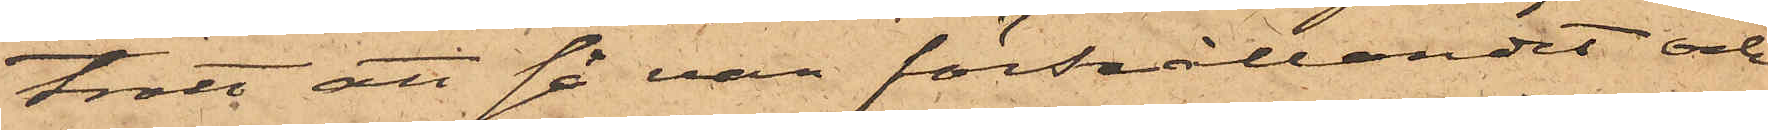trott att så var förhållandet och
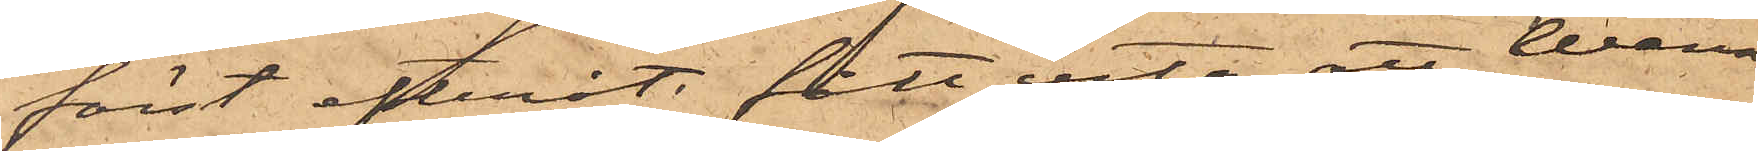först efteråt fått veta att Wenner¬
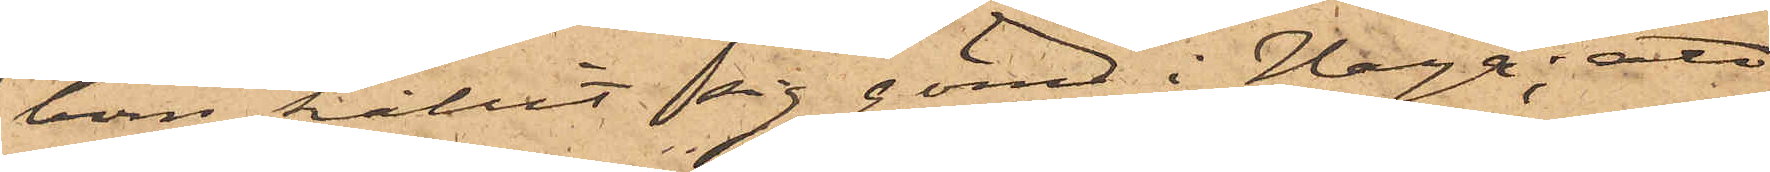bom hållit sig gömd i Haga; att
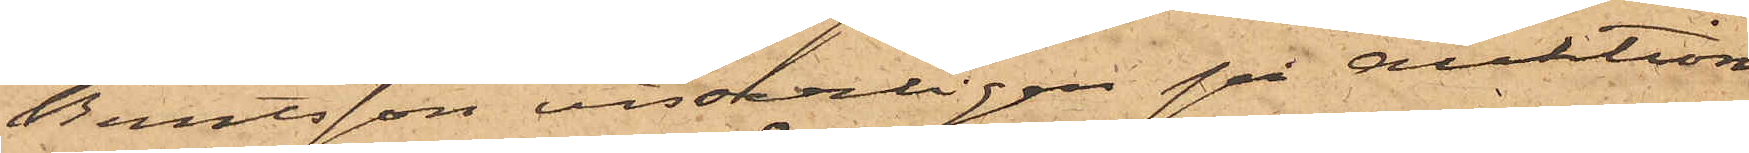Berntsson visserligen på auktions¬
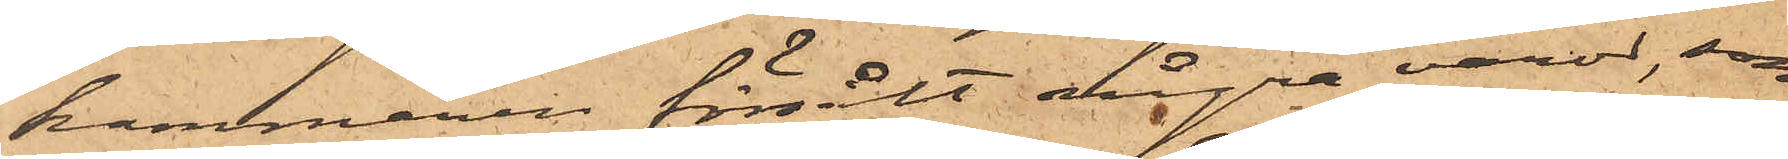kammaren försålt några varor, som
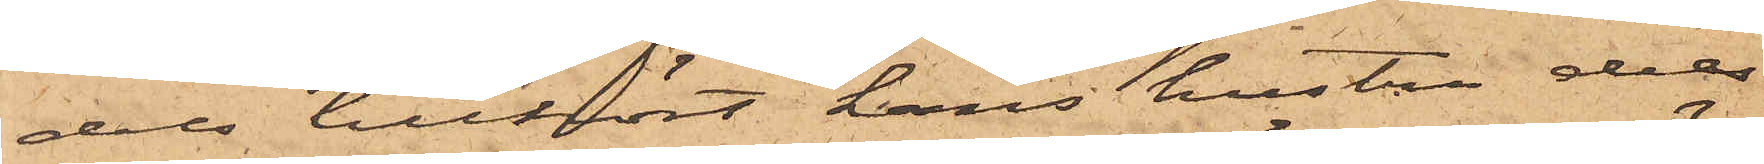dels tillhört hans hustru dels
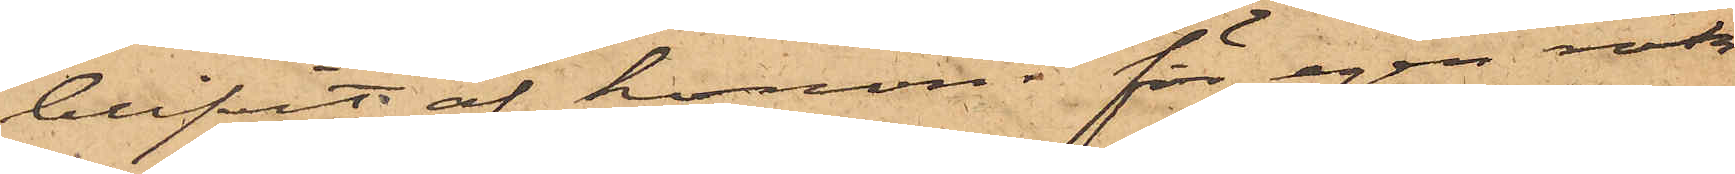blifvit af honom för egen räk¬
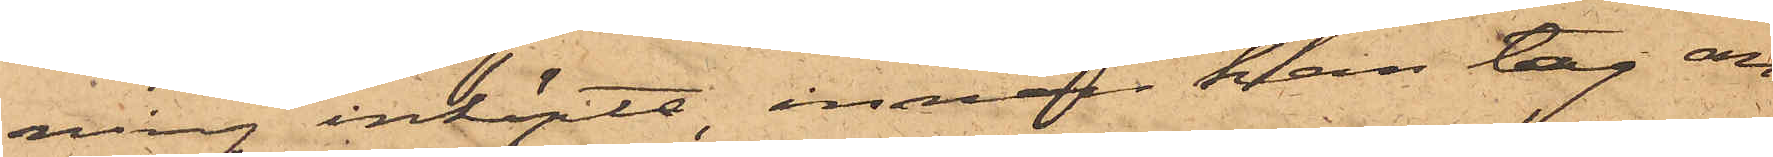ning inköpta, innan han tog an¬
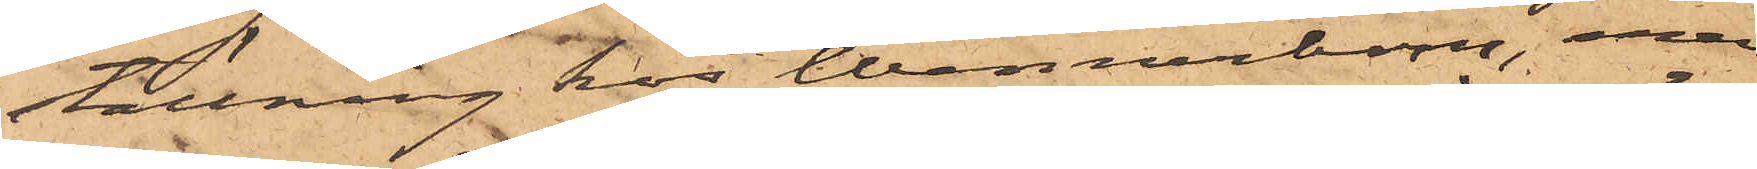ställning hos Wennerbom, men
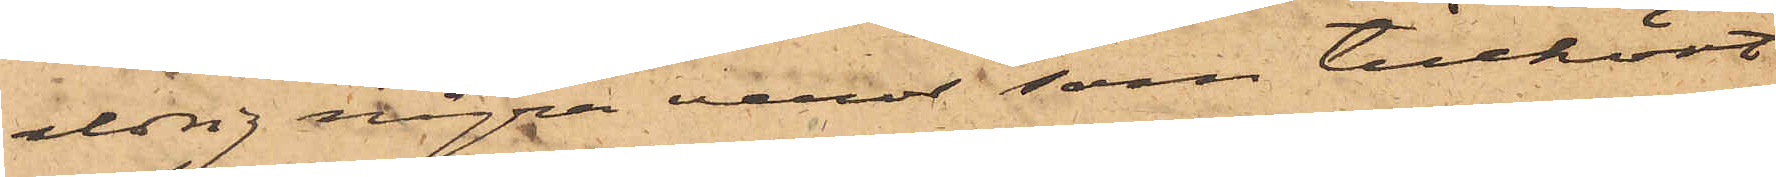aldrig några varor som tillhört
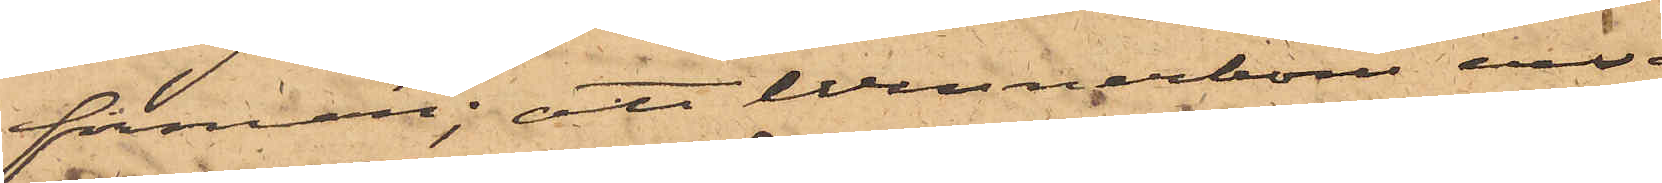firman; att Wennerbom ensam
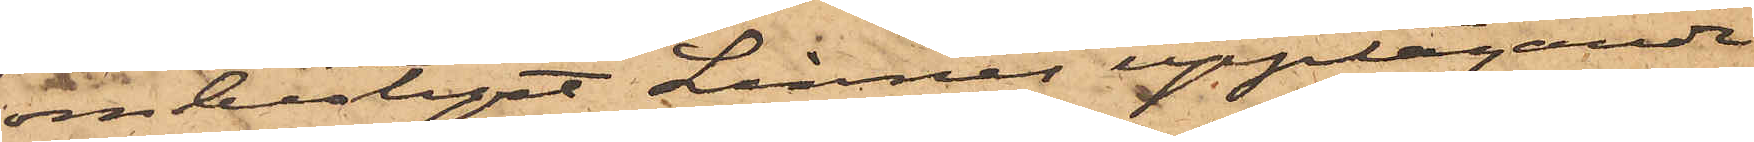ombestyrt Linnés upptagande
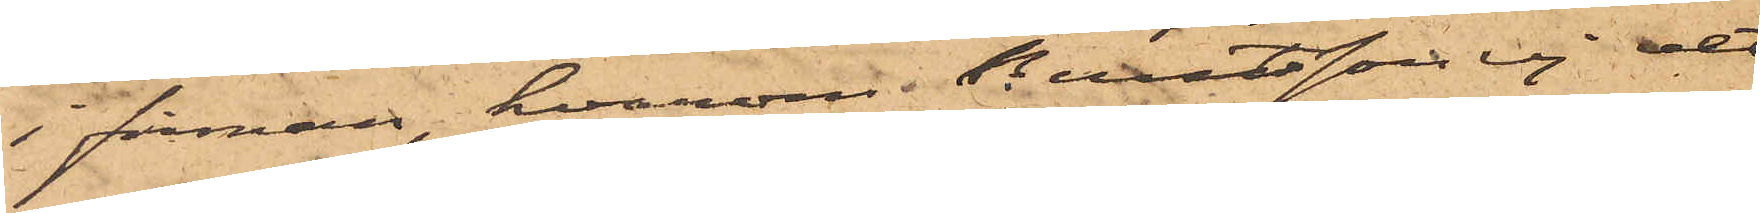i firman, hvarom Berntsson ej vet
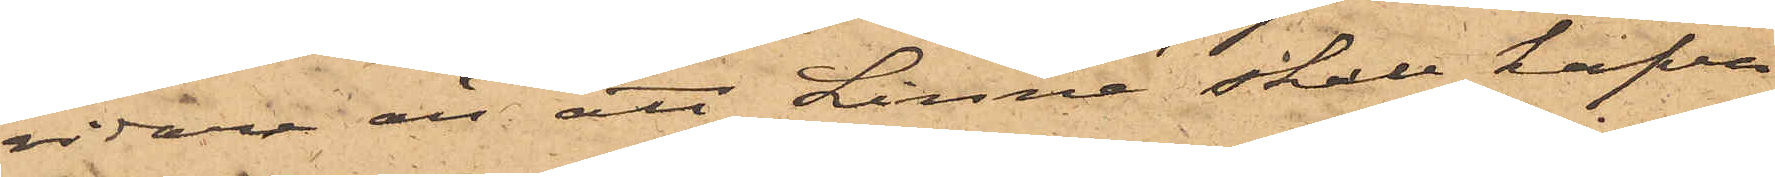vidare än att Linné skall hafva
